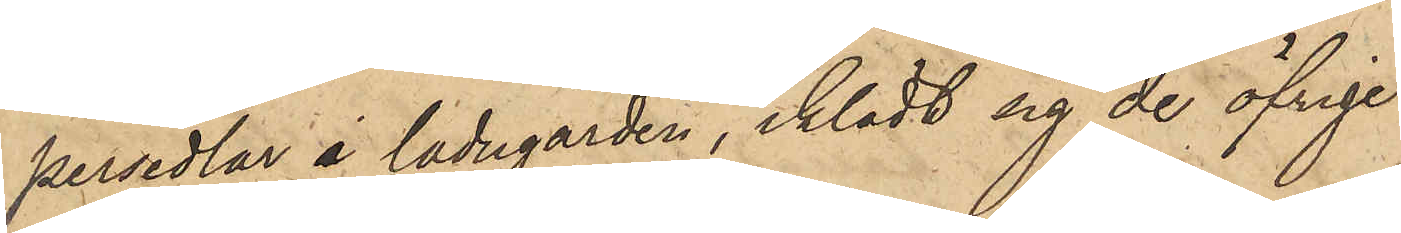persedlar i ladugården, iklädt sig de öfrige
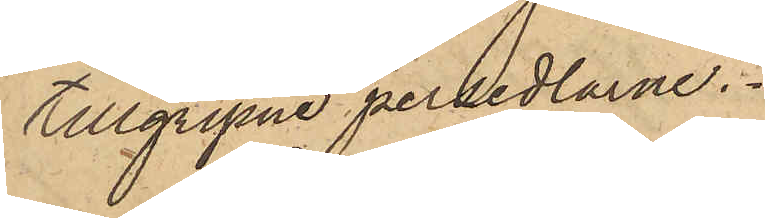tillgripne persedlarne.
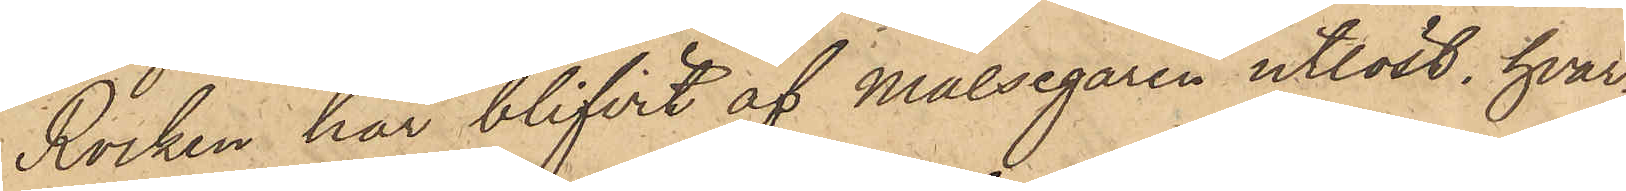Rocken har blifvit af Målsegaren utlöst, hvar¬
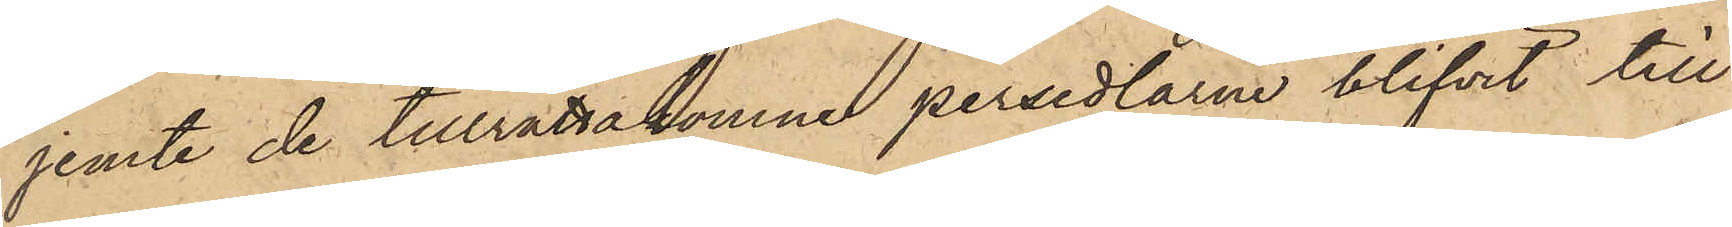jemte de tillrättakomne persedlarne blifvit till
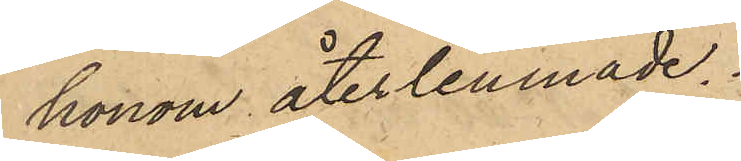honom återlemnade.
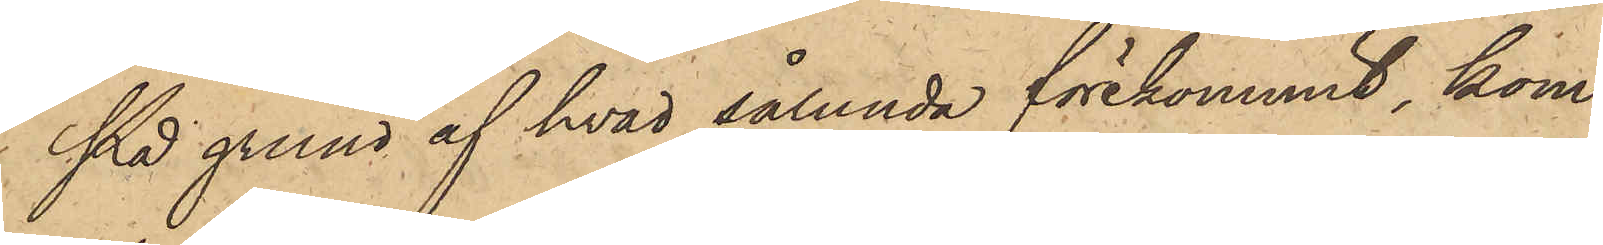På grund af hvad sålunda förekommit, kom¬
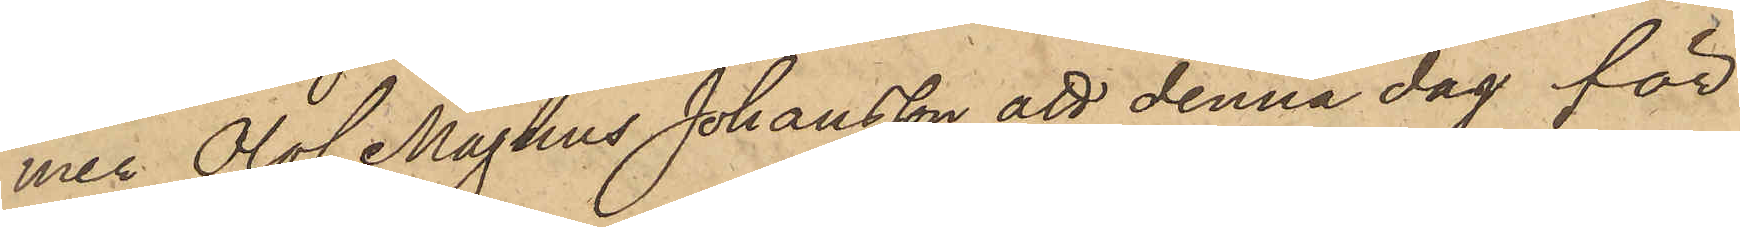mer Olof Magnus Johansson att denna dag för
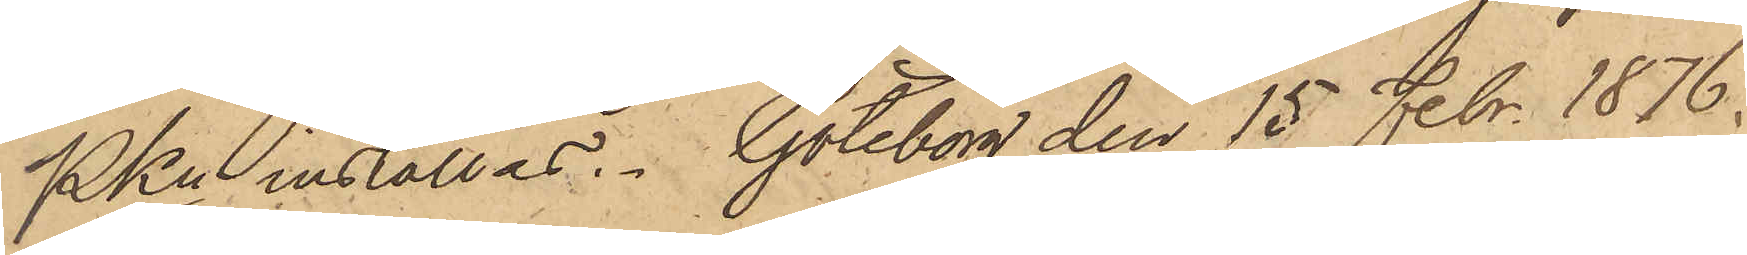PKn inställas. Göteborg den 15 Febr 1876.
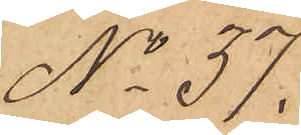No 37.
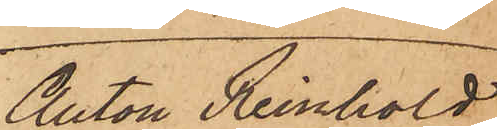Anton Reinhold
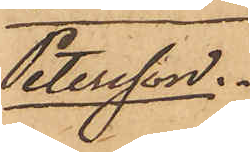Petersson.
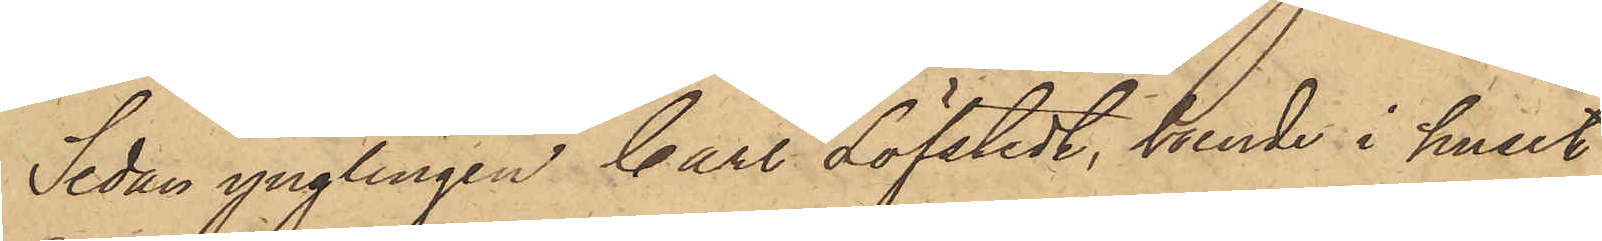Sedan ynglingen Carl Löfstedt, boende i huset
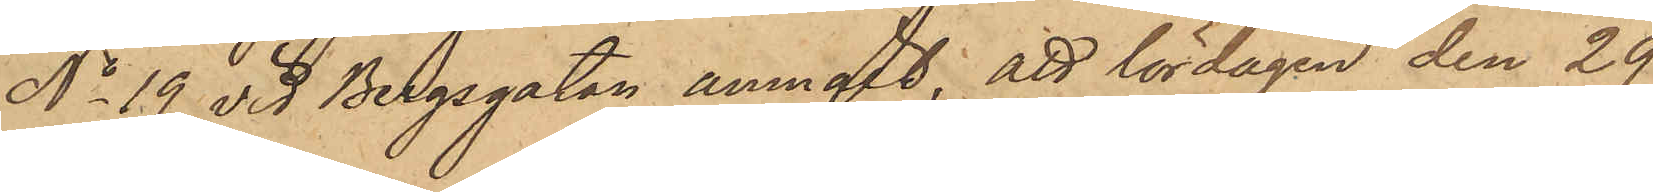No 19 vid Bergsgatan anmält, att lördagen den 29
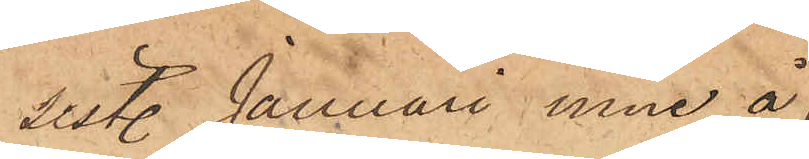sist. Januari inne å
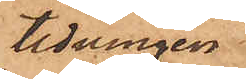tidningen
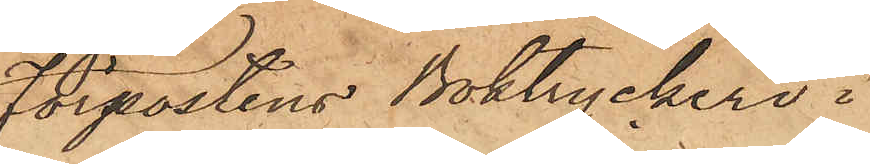Förpostens Boktryckeri i
